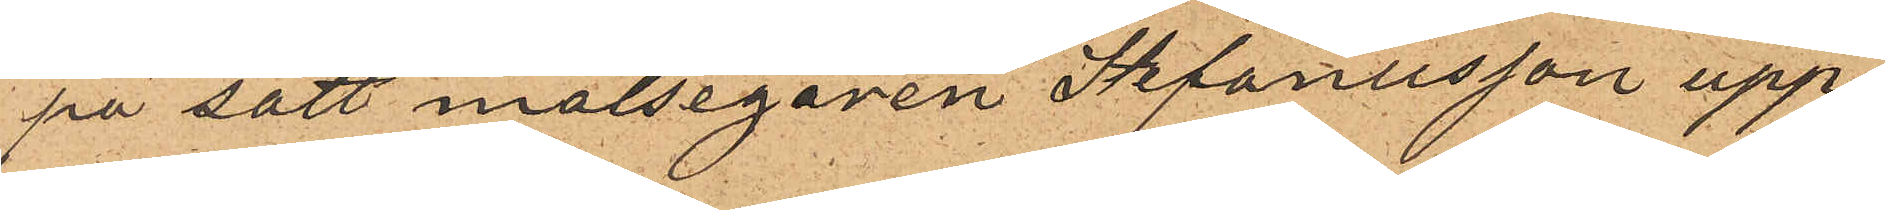på sätt målsegaren Stefanusson upp¬
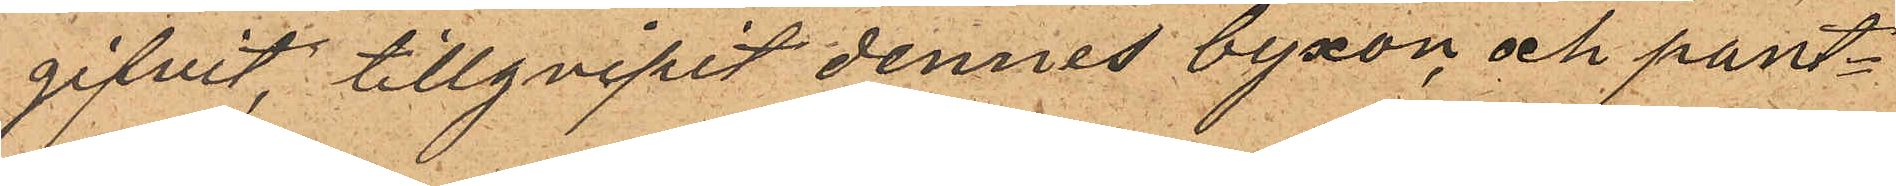gifvit, tillgripit dennes byxor, och pant¬
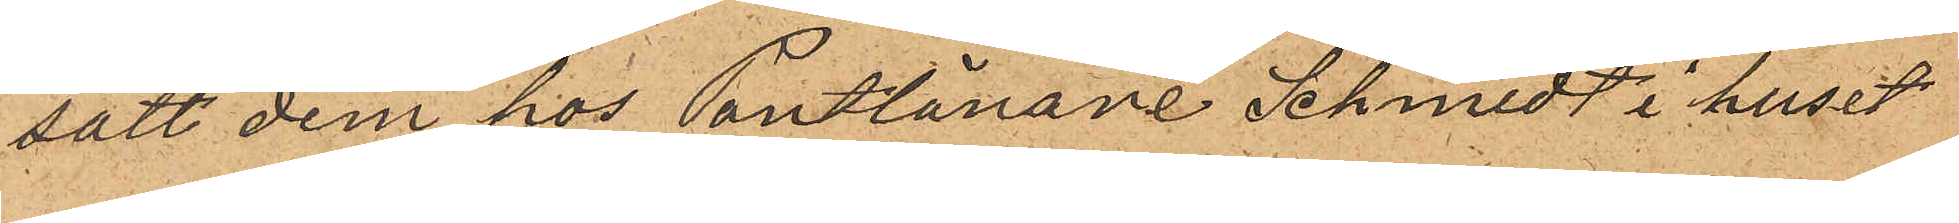satt dem hos Pantlånare Schmidt i huset
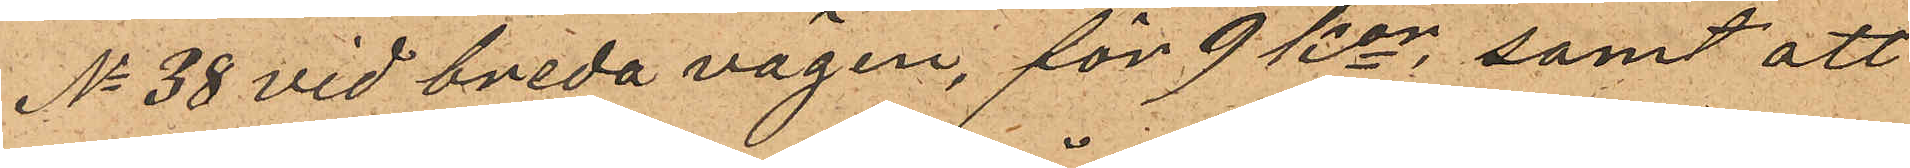No 38 vid breda vägen, för 9 Kor; samt att
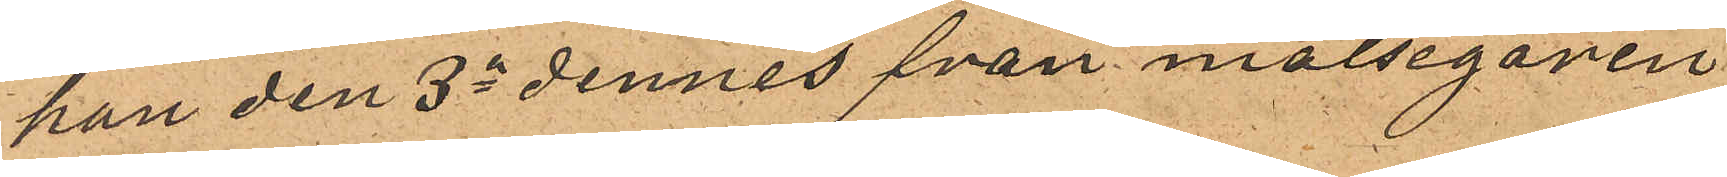han den 3dje dennes från målseganen
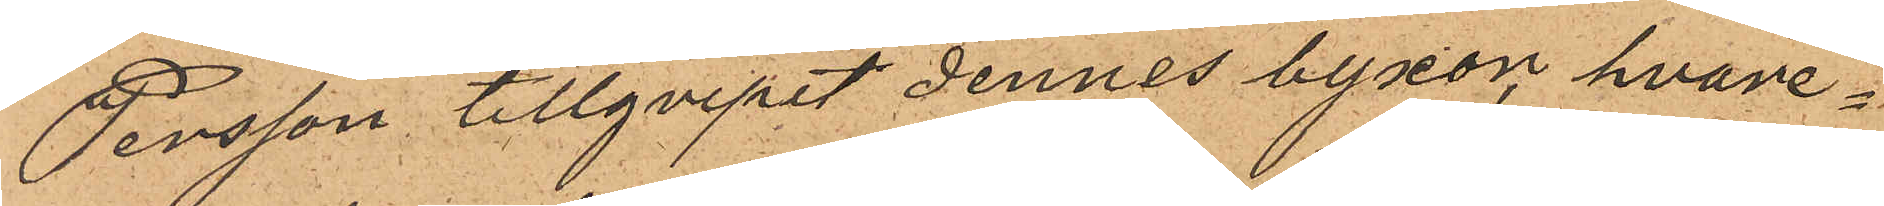Persson tillgripit dennes byxor hvare¬
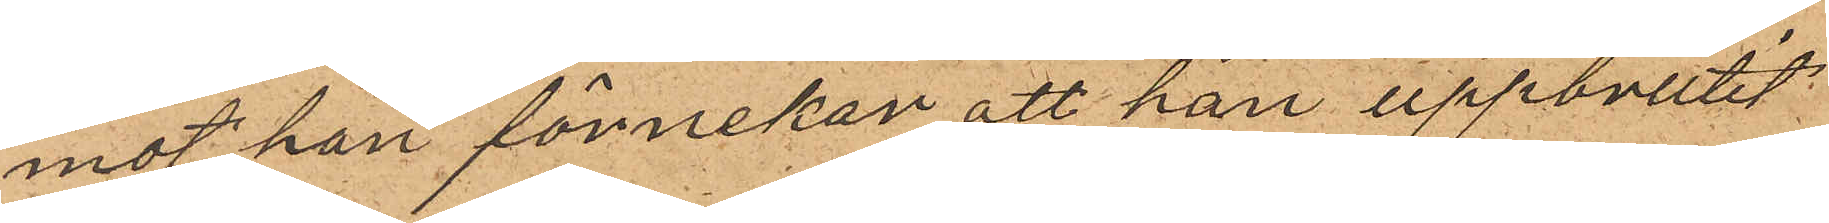mot han förnekar att han uppbrutit
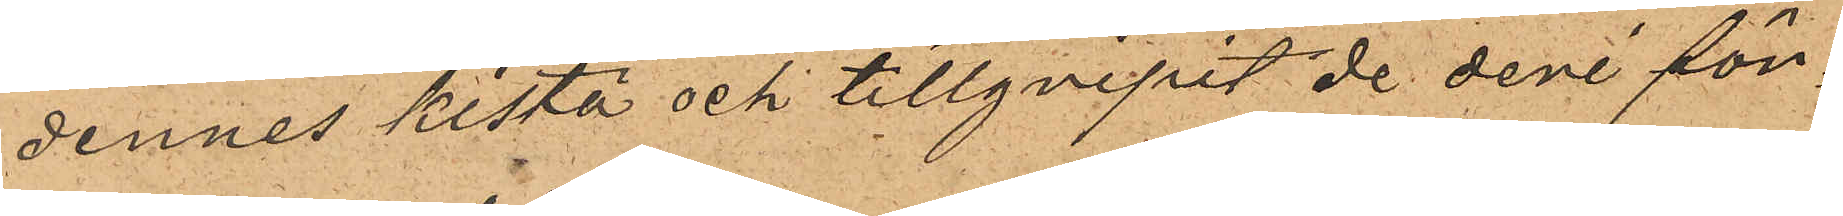dennes kista och tillgripit de deri för¬
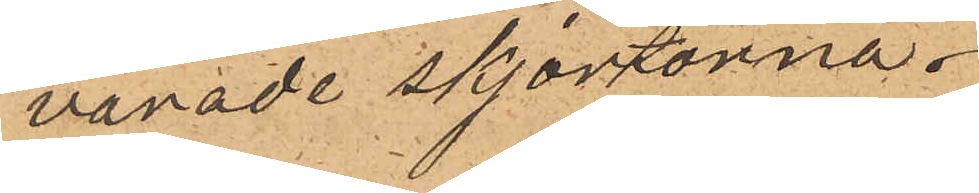varade skjortorna.
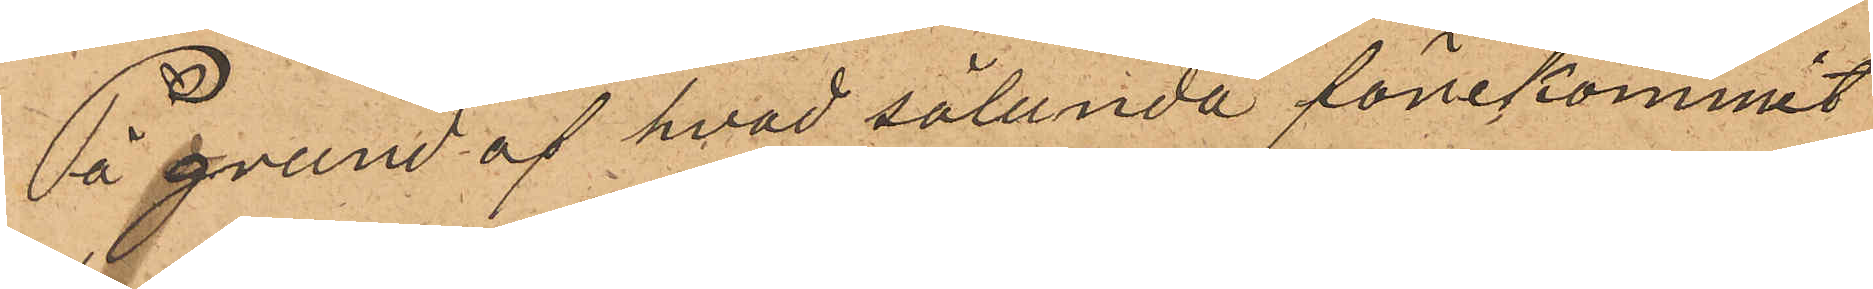På grund af hvad sålunda förekommit
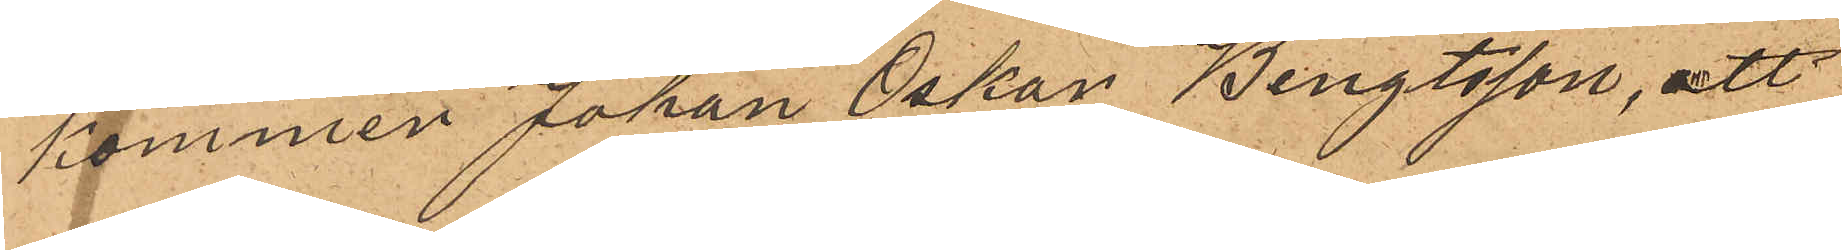kommer Johan Oskar Bengtsson, att
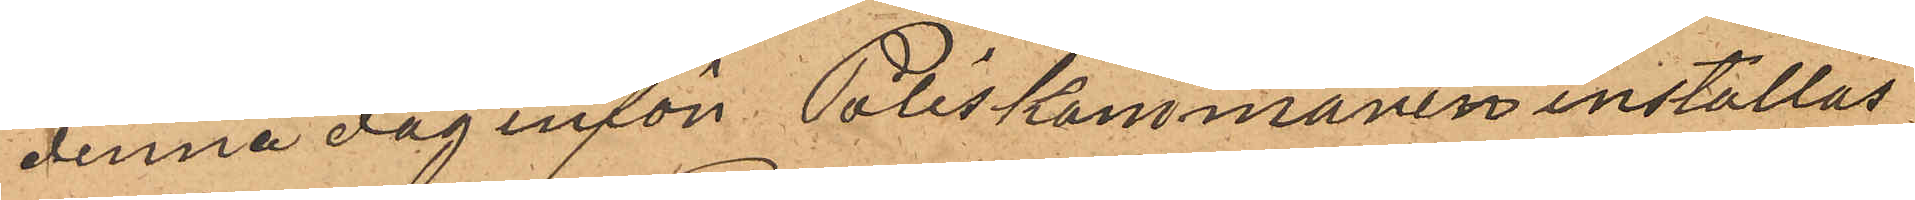denna dag inför Poliskammaren inställas.
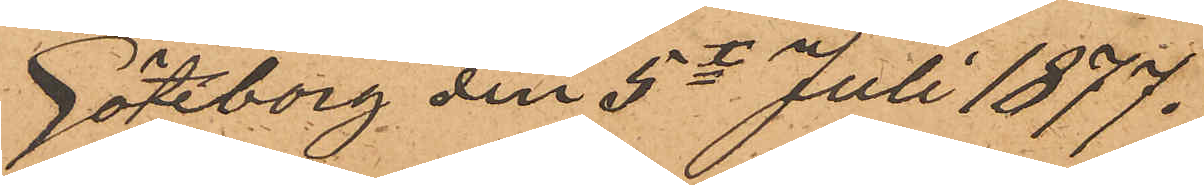Göteborg den 5te Juli 1877.
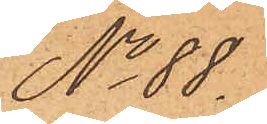No 88.
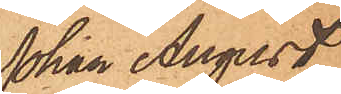Johan August
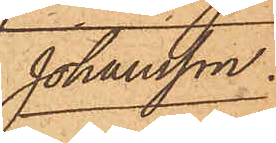Johansson.
